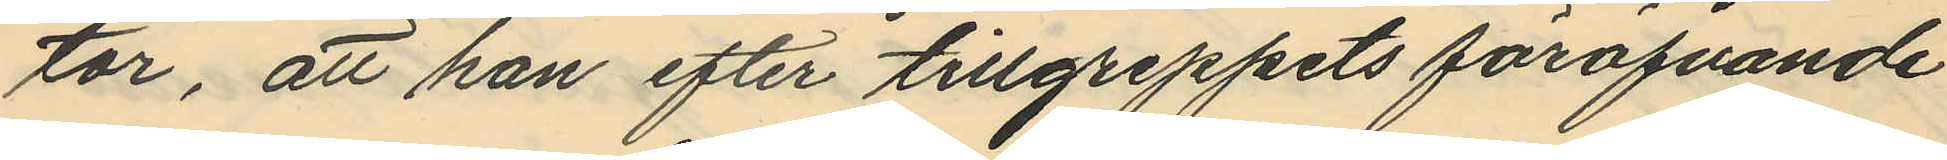tor, att han efter tillgreppets föröfvande
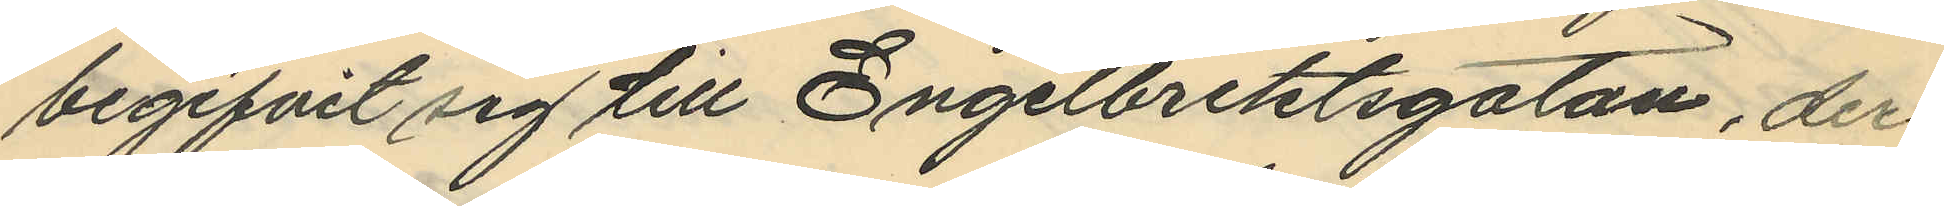begifvit sig till Engelbrektsgatan, der
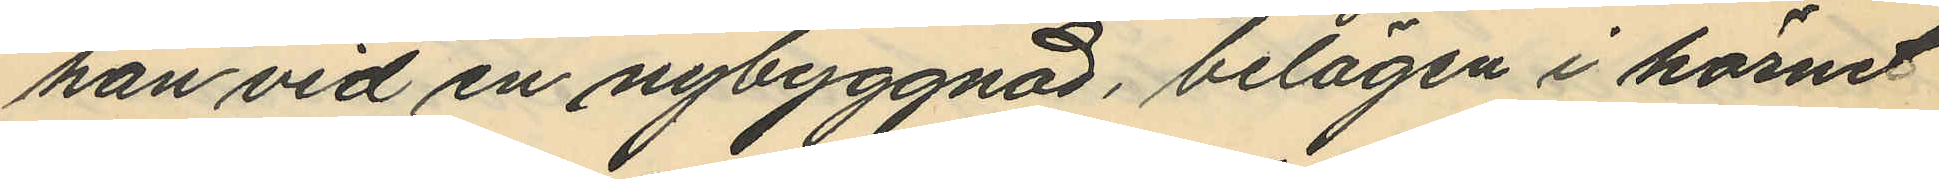han vid en nybyggnad, belägen i hörnet
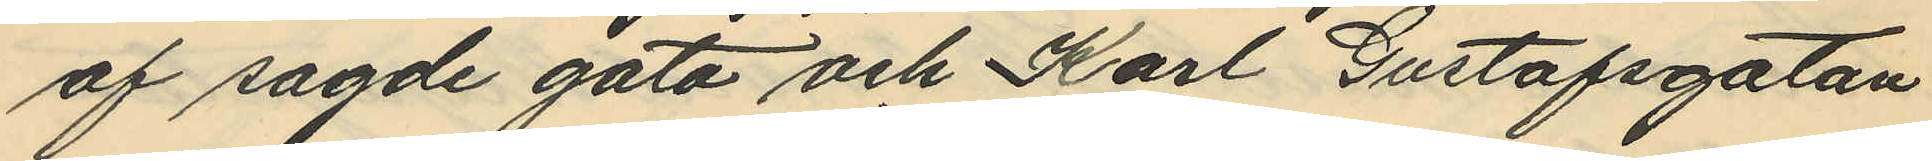af sagde gata och Karl Gustafsgatan
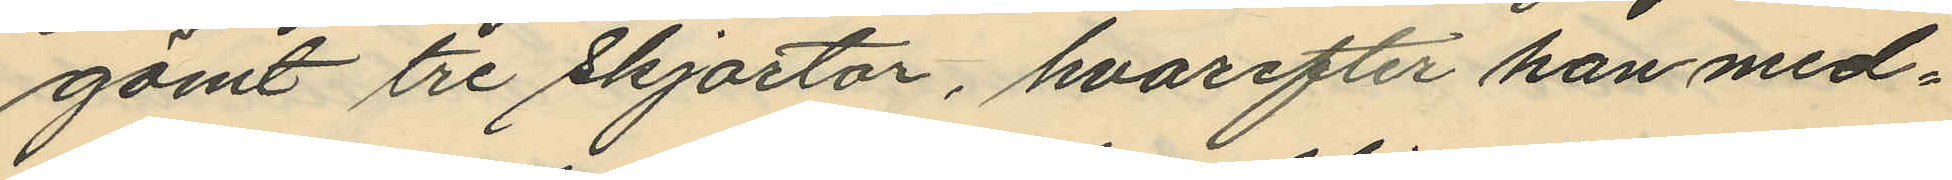gömt tre skjortor, hvarefter han med¬
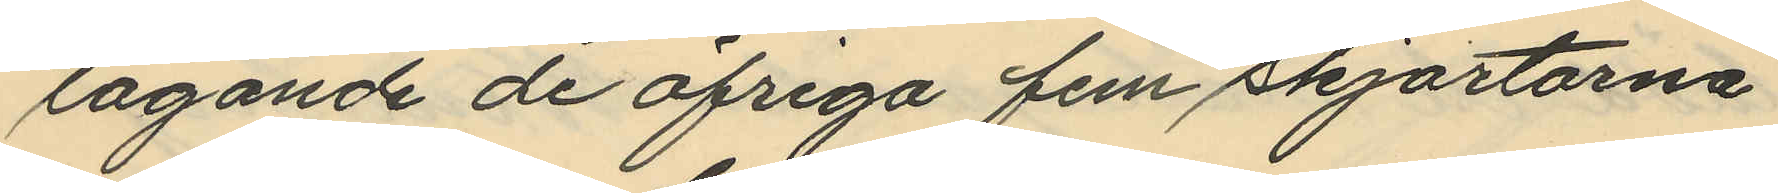tagande de öfriga fem skjortorna
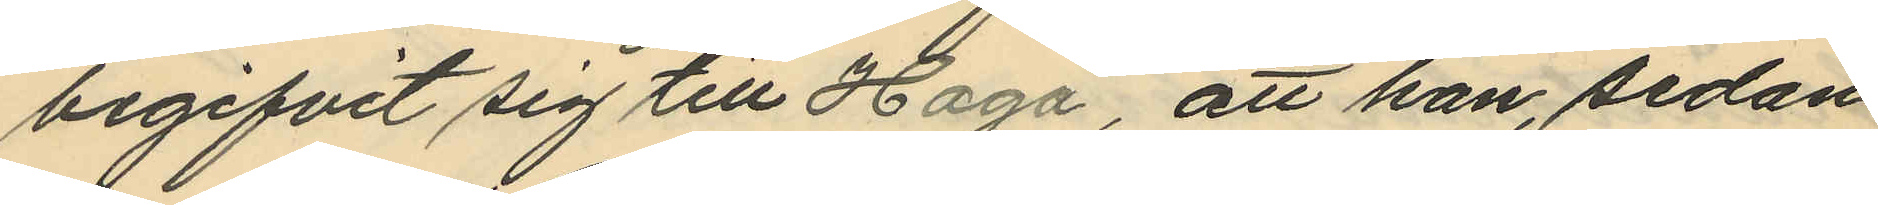begifvit sig till Haga, att han, sedan
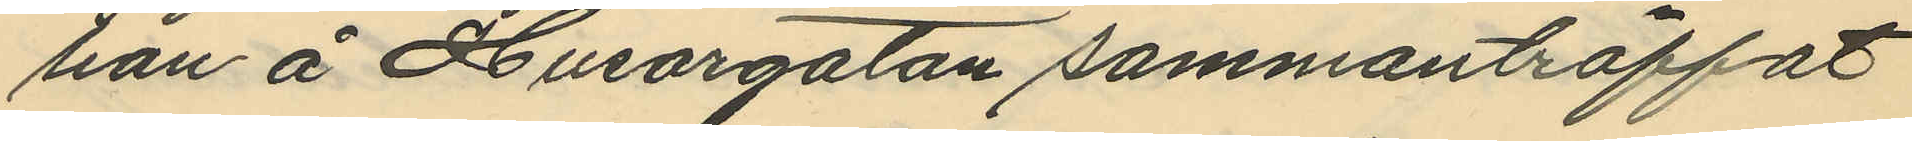han å Husargatan sammanträffat
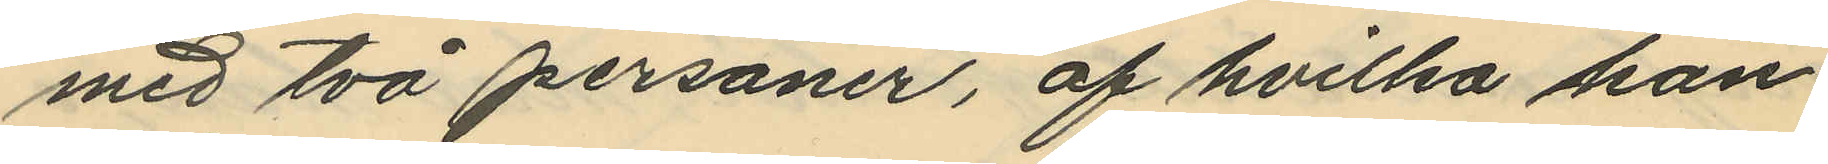med två personer, af hvilka han
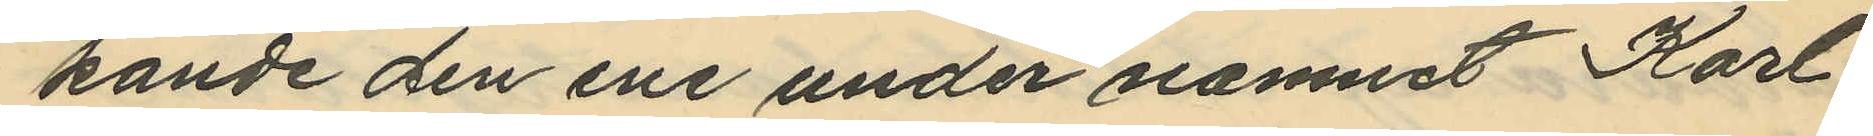kände den ene under namnet Karl
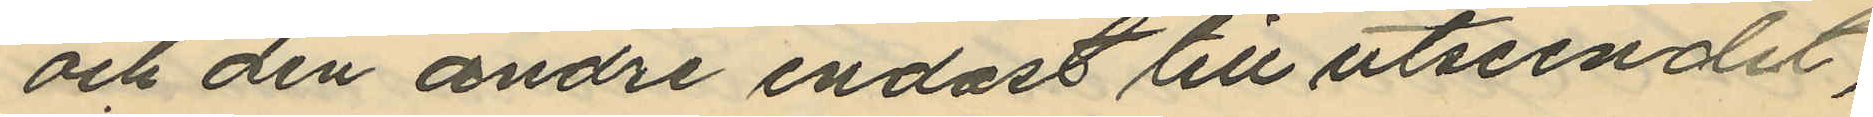och den andre endast till utseendet,
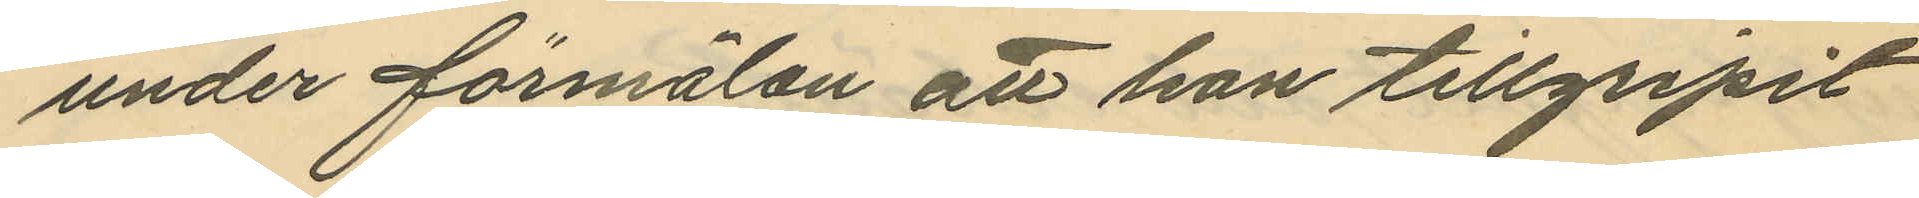under förmälan att han tillgripit
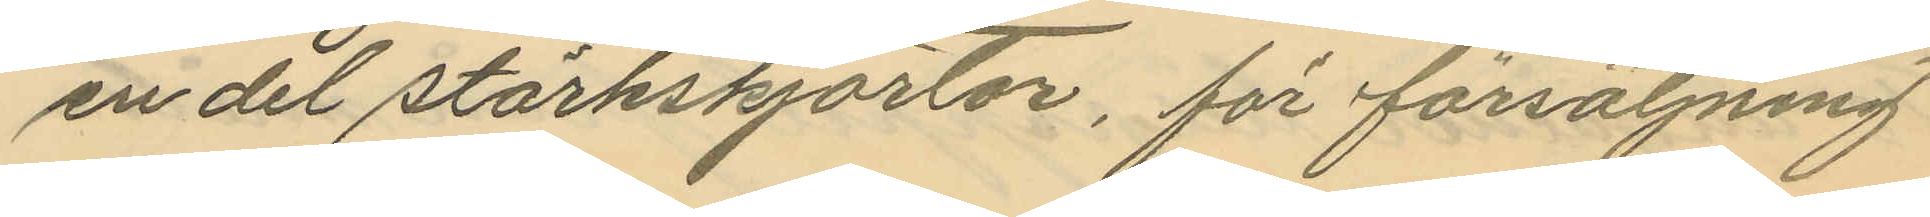en del stärkskjortor, för försäljning
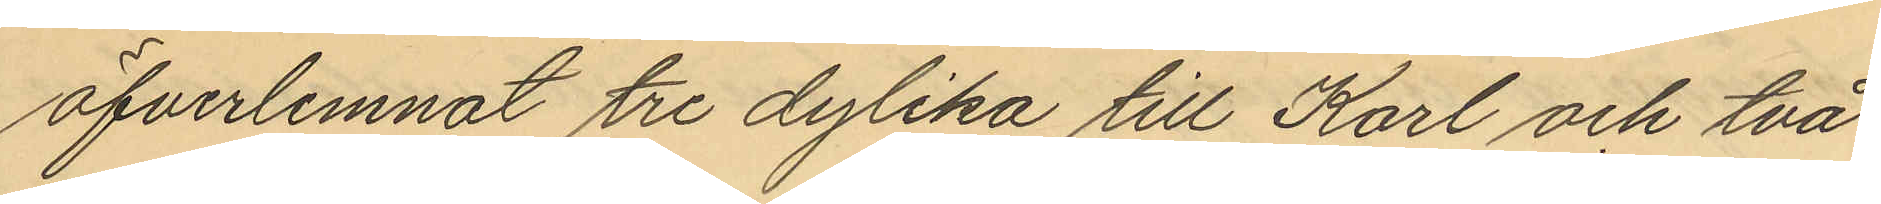öfverlemnat tre dylika till Karl och två
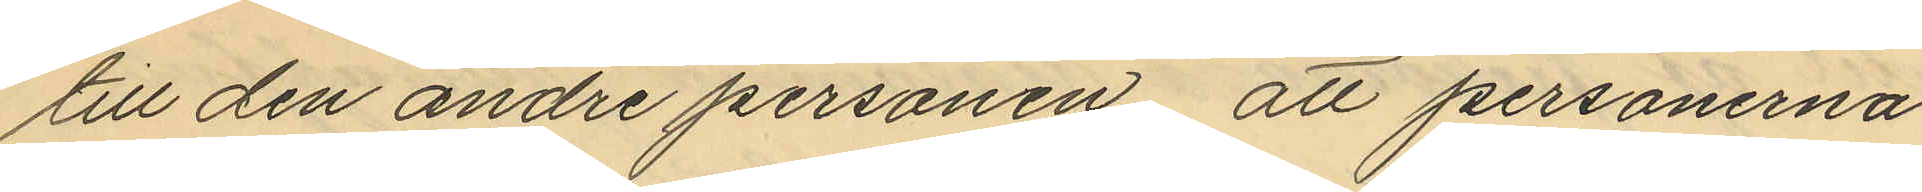till den andre personen, att personerna
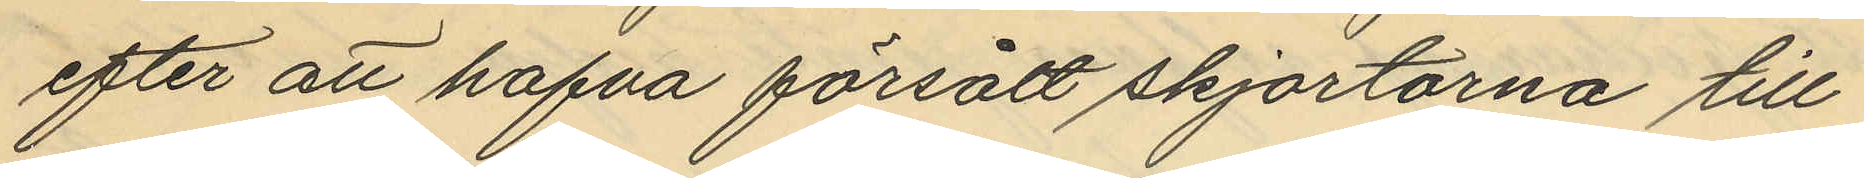efter att hafva försålt skjortorna till
